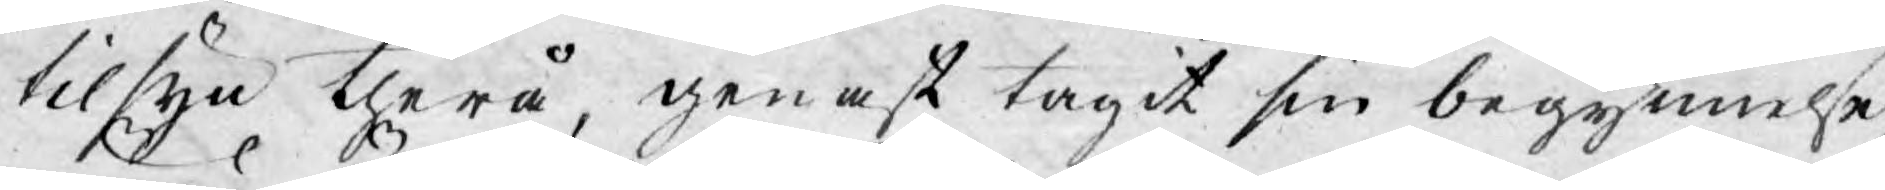tilsyn therå, genast tagit sin begynnelse,
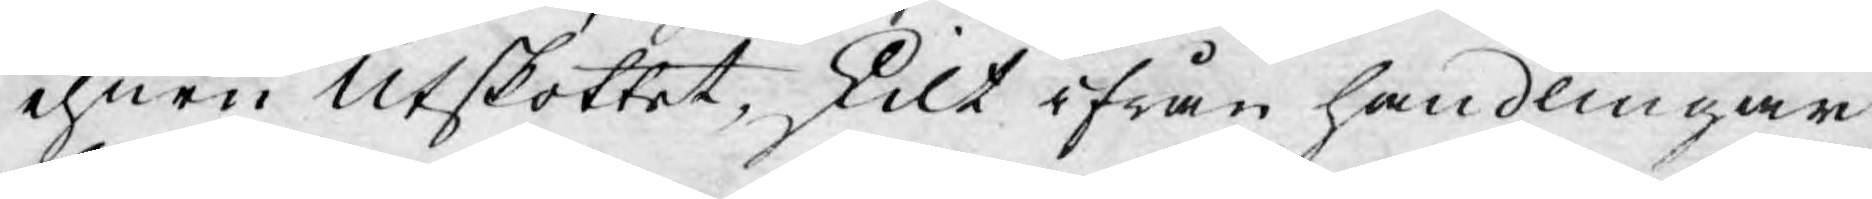ehuru Utskottet, skilt ifrån handlingar
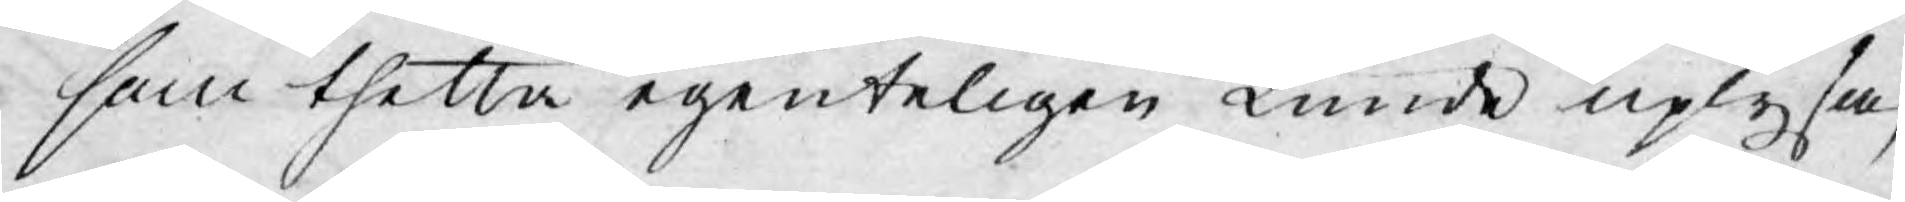som thetta egenteligen kunde uplysa,
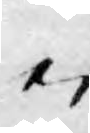ei
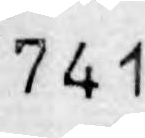741
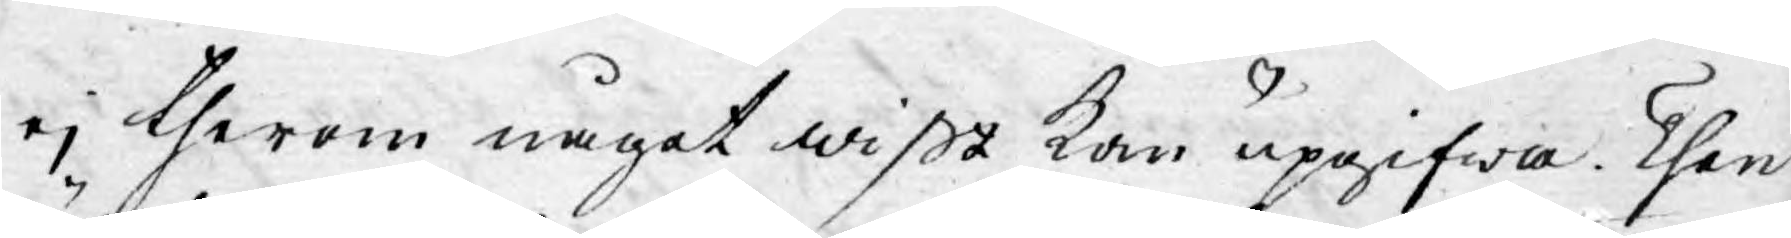ej therom något wißt kan upgifwa. Then
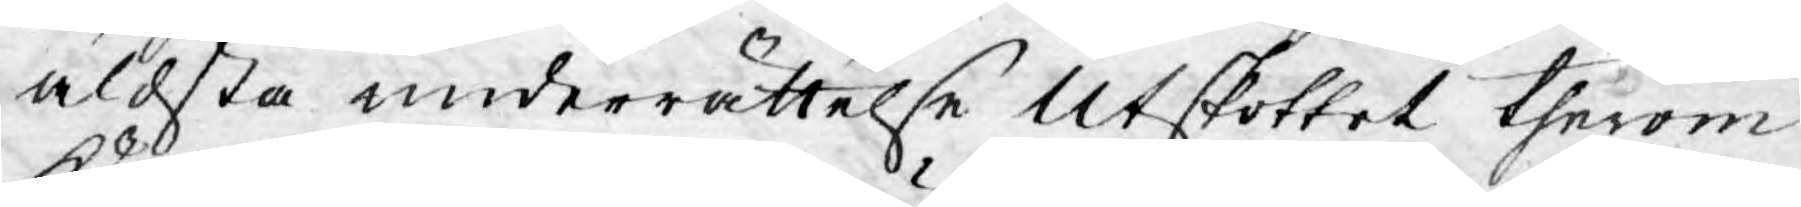äldsta underrättelse Utskottet therom
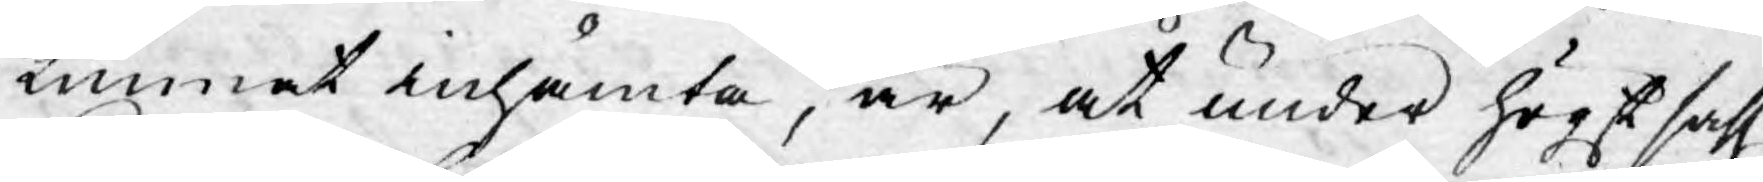kunnat inhämta, är, at under högst sahl.
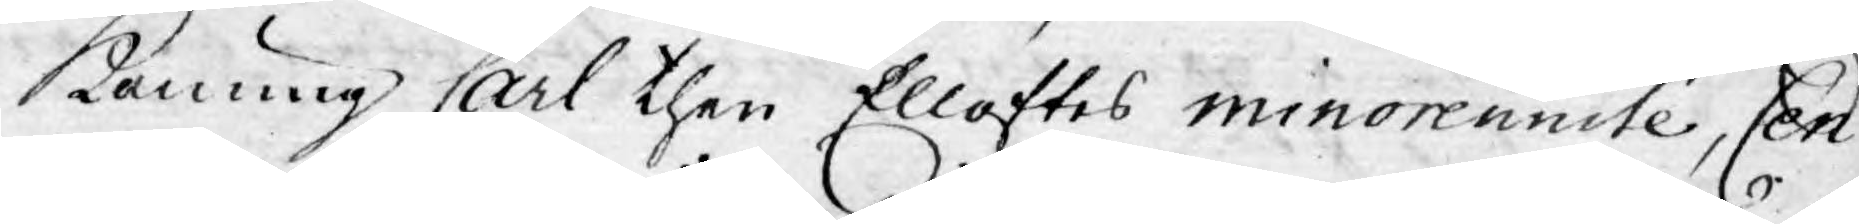Konung Carl then Elloftes minorennité, Cen¬
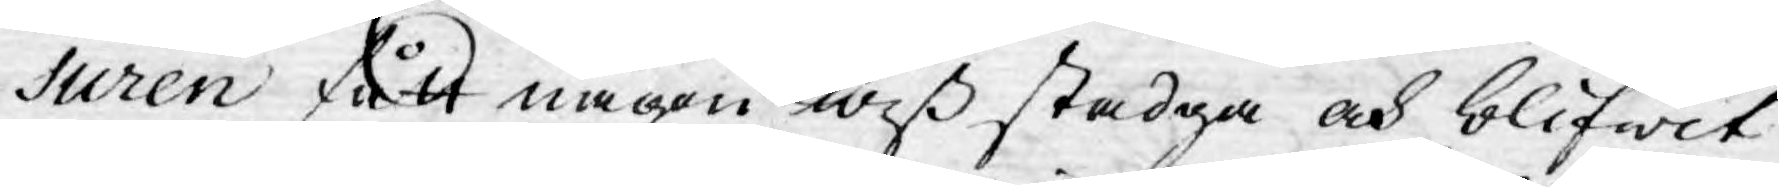suren fått någon wiß stadga och blifwit
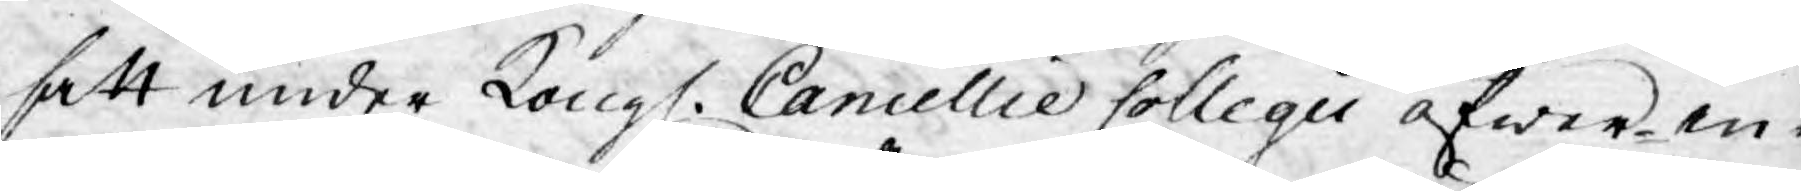satt under Kongl. Cancellie Collegii öfwer-in¬
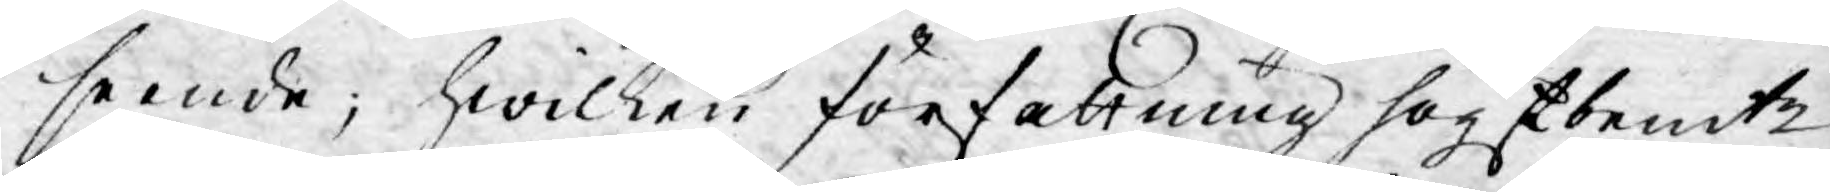seende; hwilken författning högstbemte
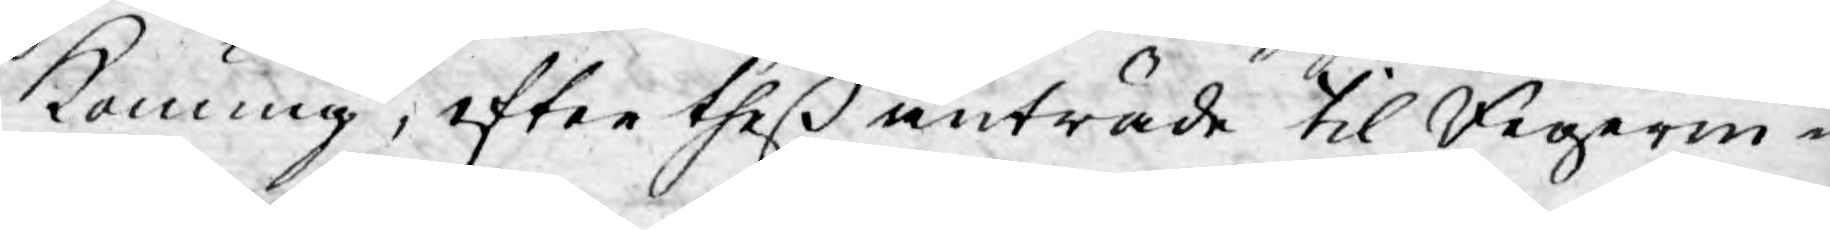Konung, efter theß anträde til Regerin¬
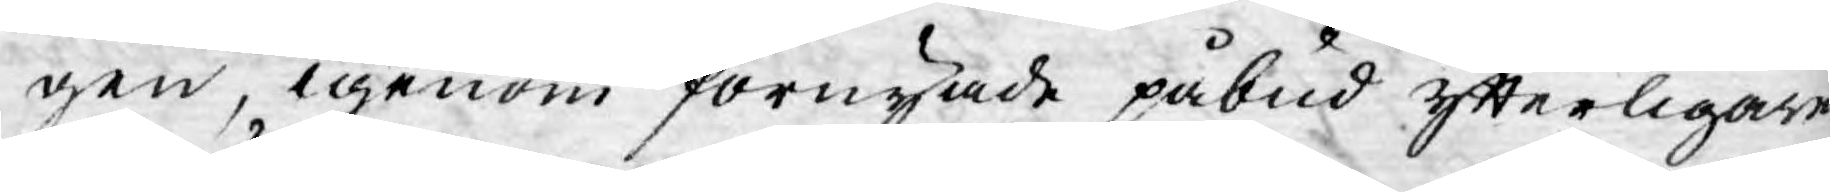gen, igenom förnyade påbud ytterligare
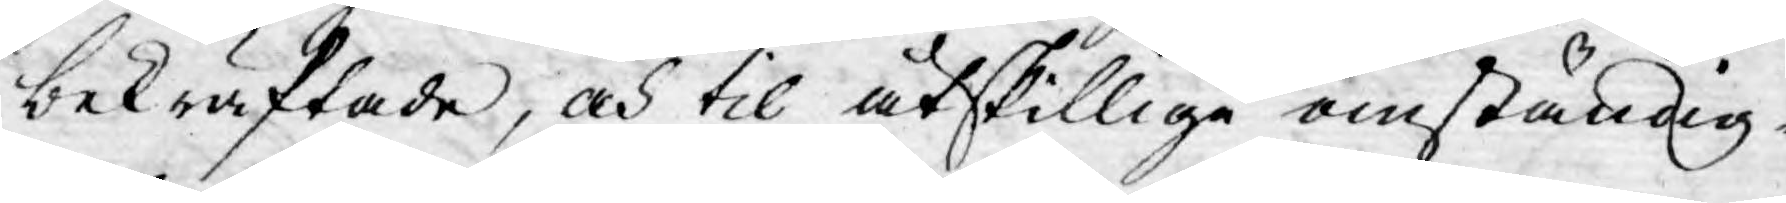bekräftade, och til åtskilliga omständig-
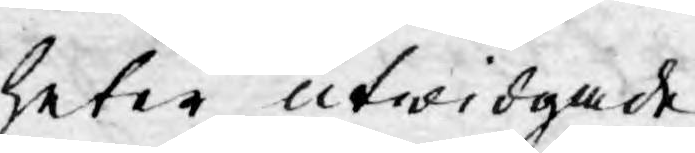heter utwidgade.
